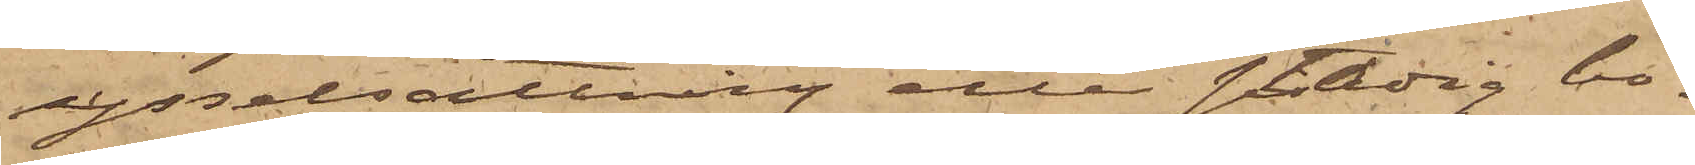sysselsättning eller stadig bo¬
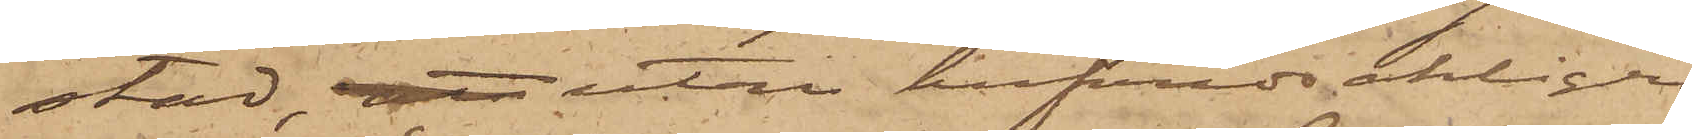stad, att utan hufvudsakligen
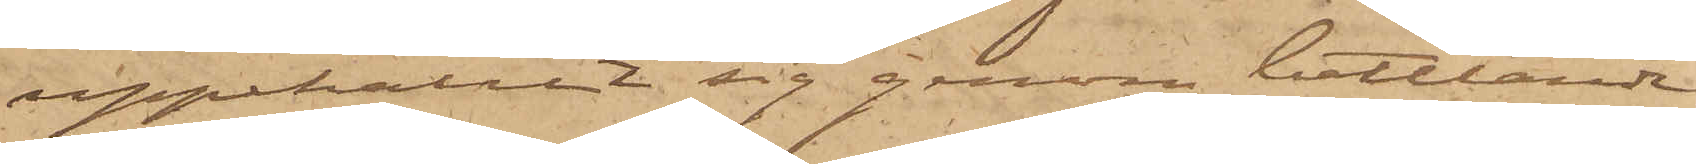uppehållit sig genom bettlande;
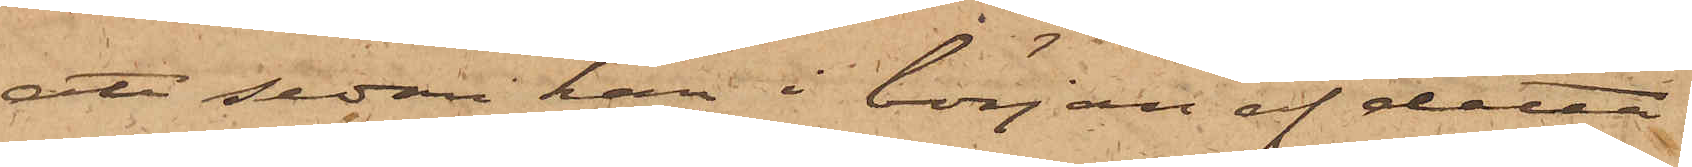att sedan han i början af detta
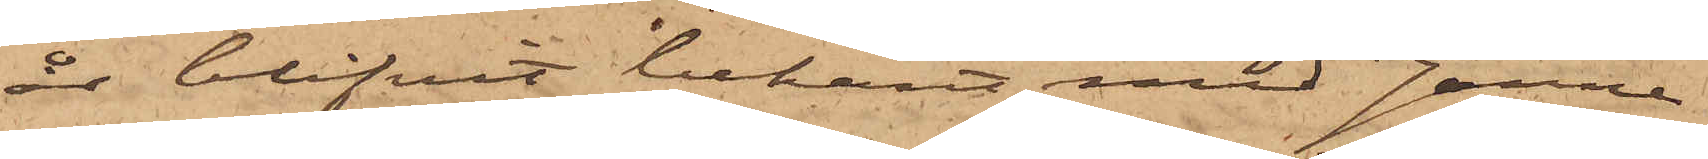år blifvit bekant med Janne
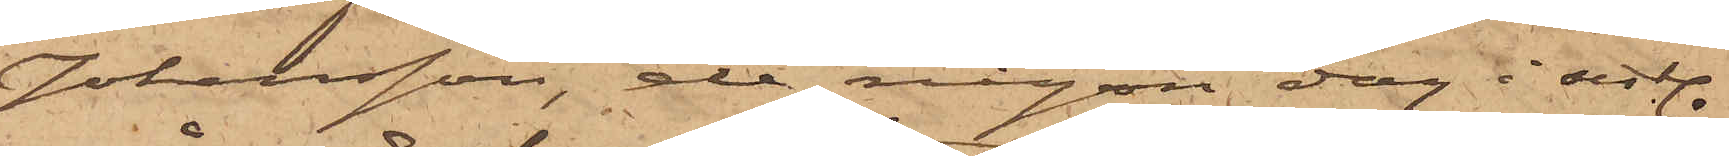Johansson, de någon dag i sistl. 
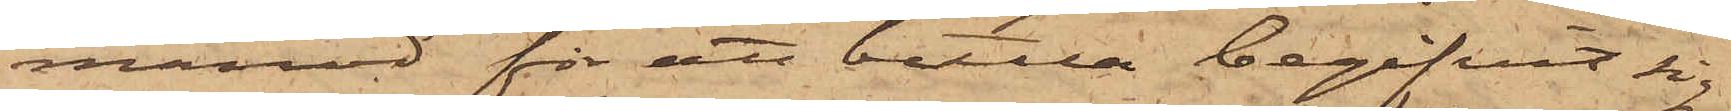månad för att bettla begifvit sig
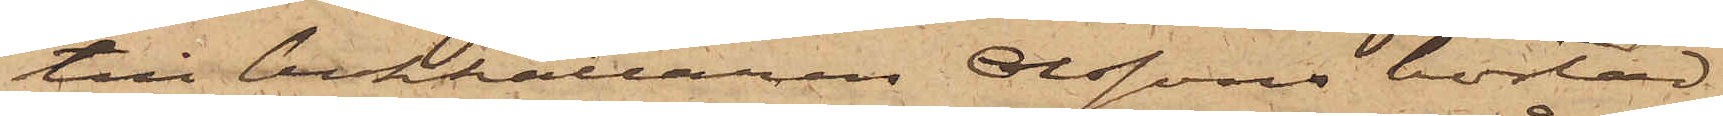till bokhållaren Olssons bostad,
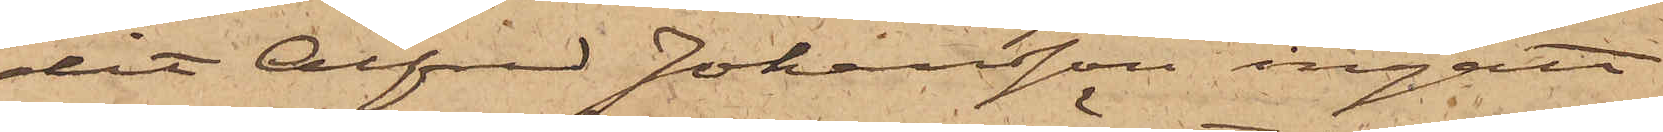dit Alfred Johansson ingått
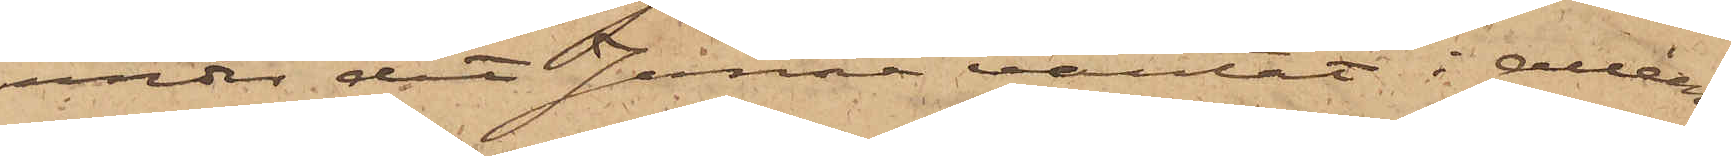under det Janne väntat i alléen;
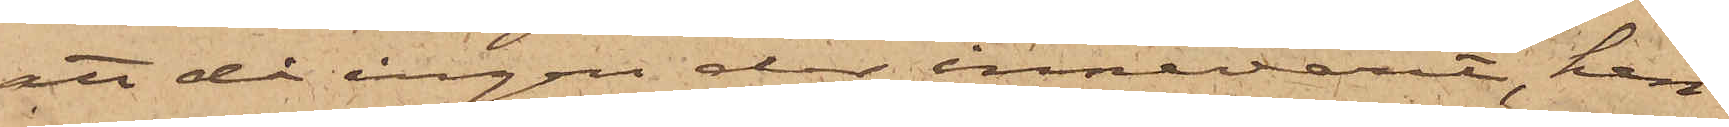att då ingen der innevarit, han
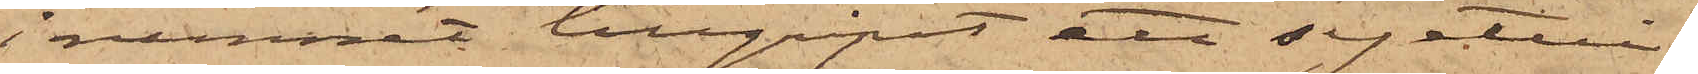i rummet tillgripit ett syetui,
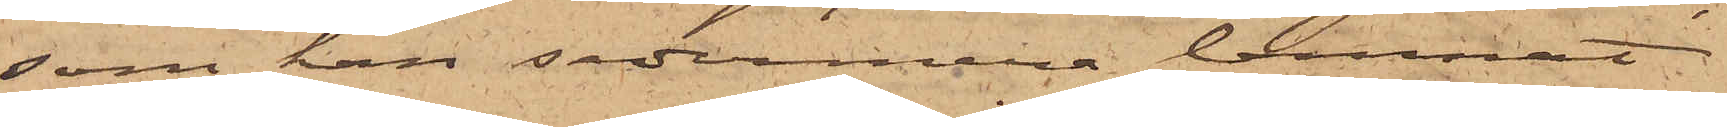som han sedermera lemnat
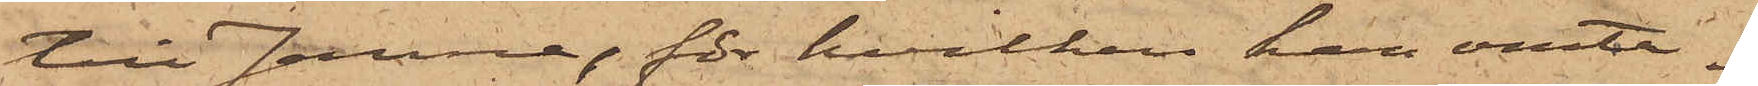till Janne, för hvilken han omta¬
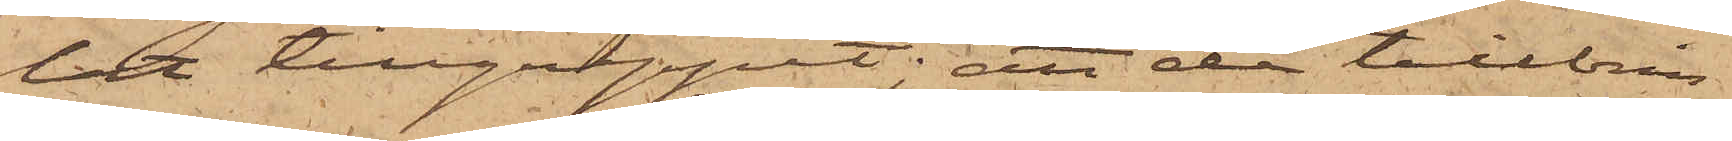lat tillgreppet; att de tillbrin¬
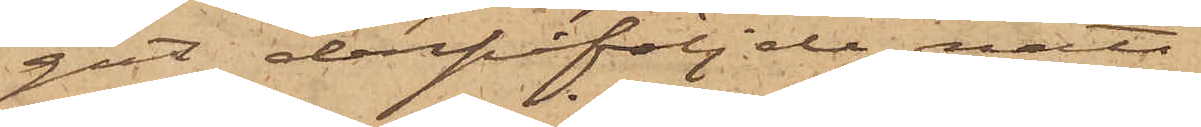gat derpåföljde natt
